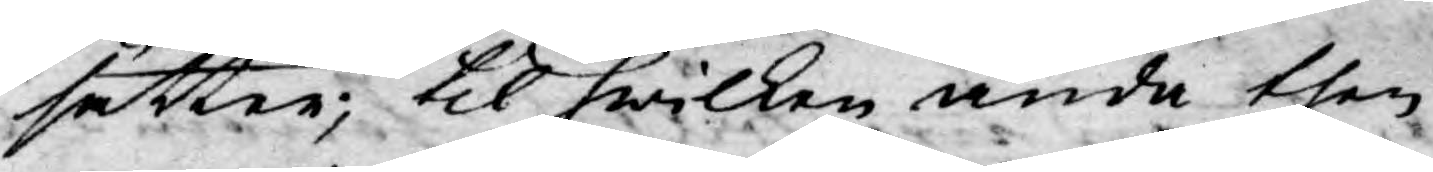sätter; til hwilken ända then
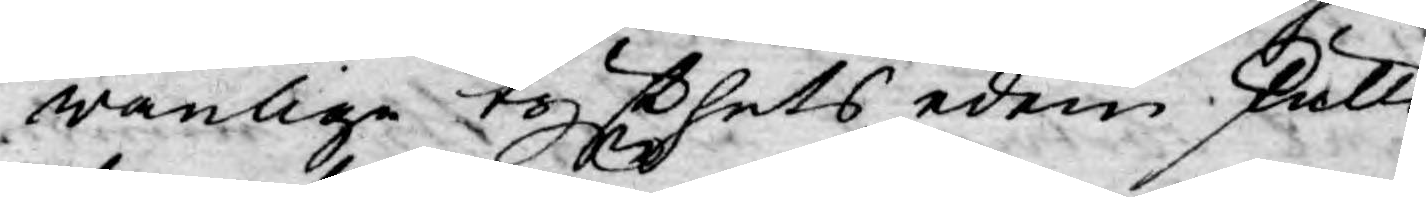wanlige tysthets eden skulle
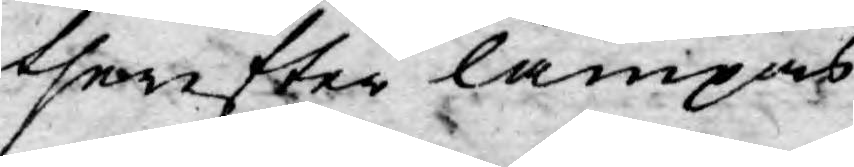therefter lämpas.
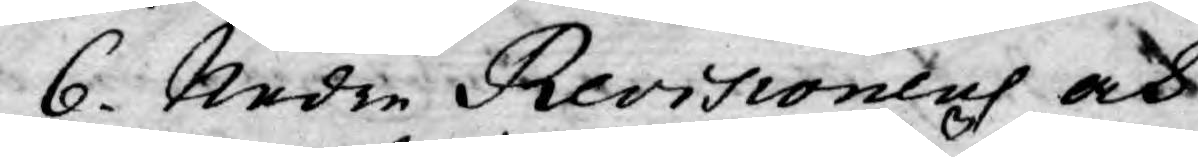6. Nedre Revisionens och
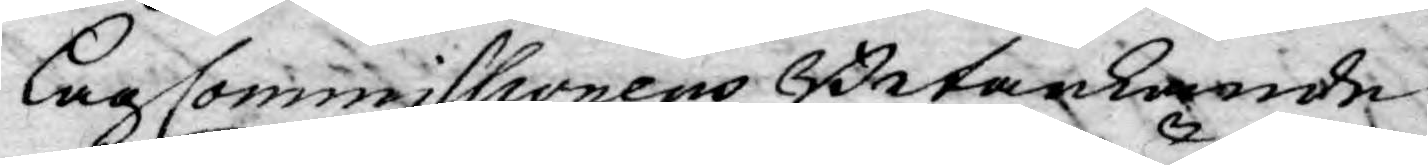Lag Commissionens Betänkande
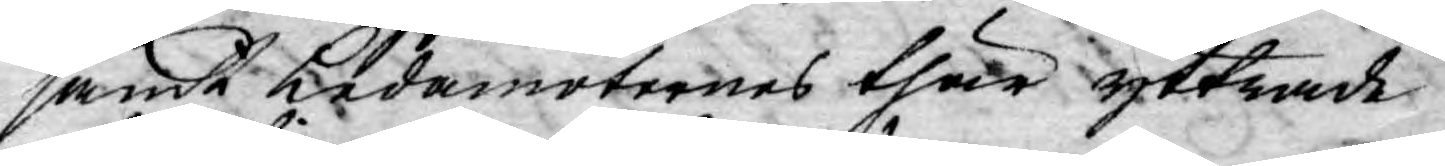samt Ledamöternes thär yttrade
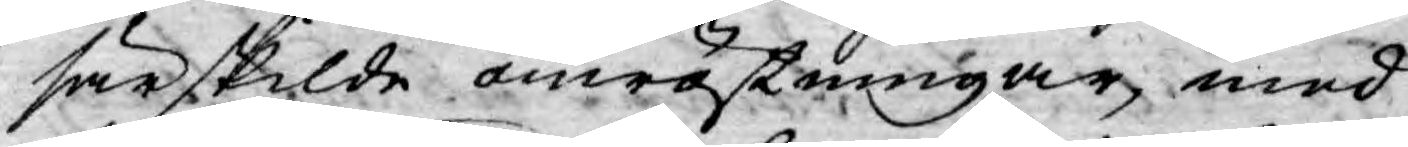särskilde omröstningar, med
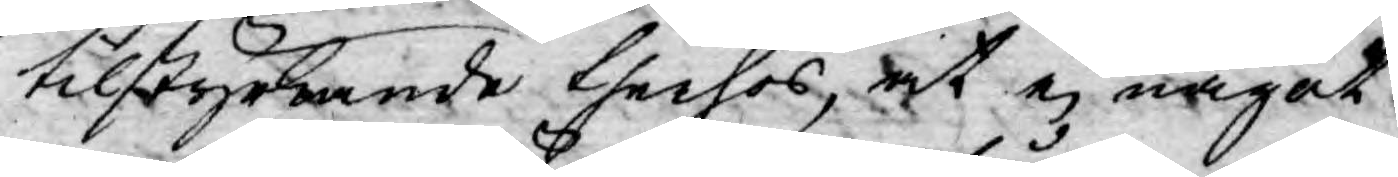tilstyrkande therhos, at ej något
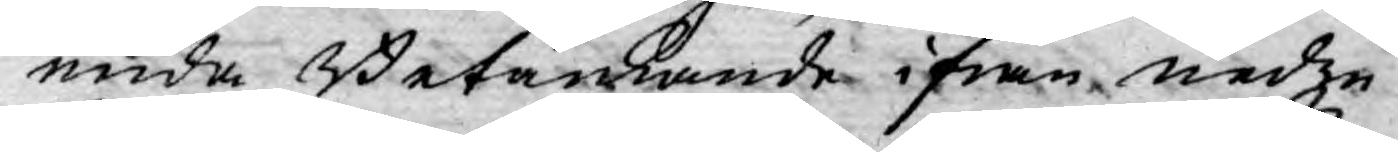enda Betänkande ifrån nedre
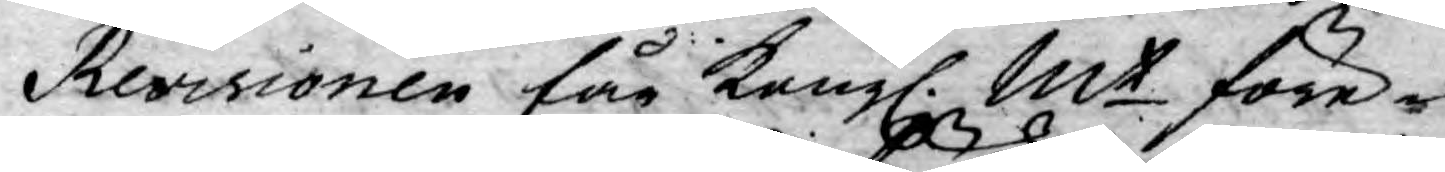Revisionen får Kongl. Mt före¬
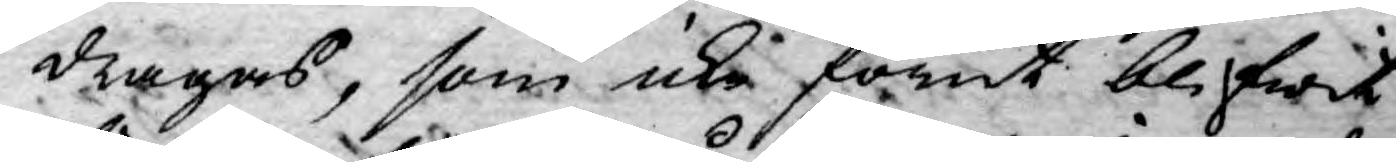dragas, som icke förut blifwit
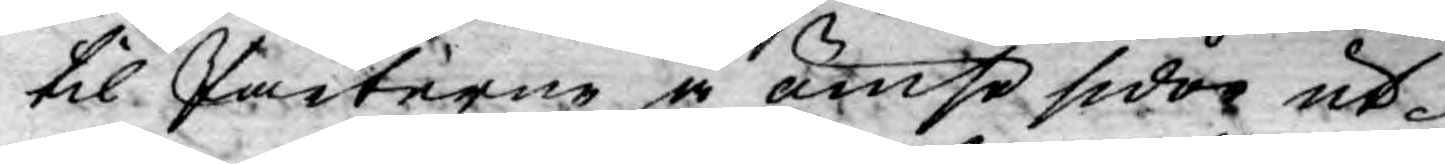til Parterne å ömse sidor ut¬
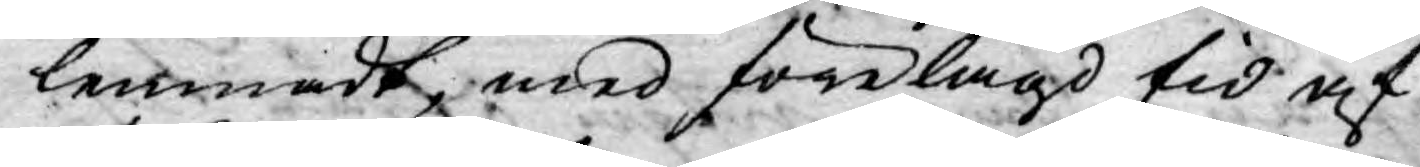lemnadt, med förelagd tid af
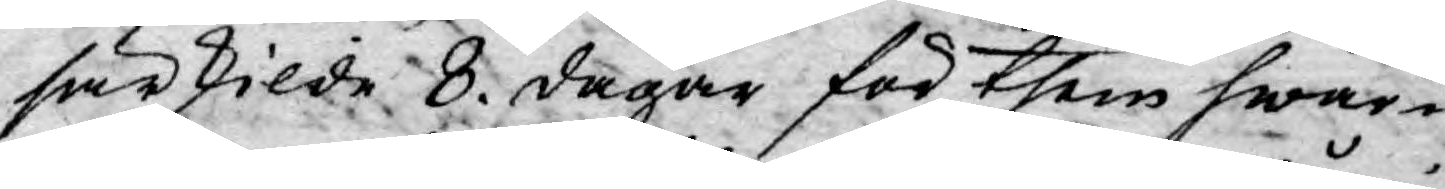särskilde 8. dagar för them hwar¬
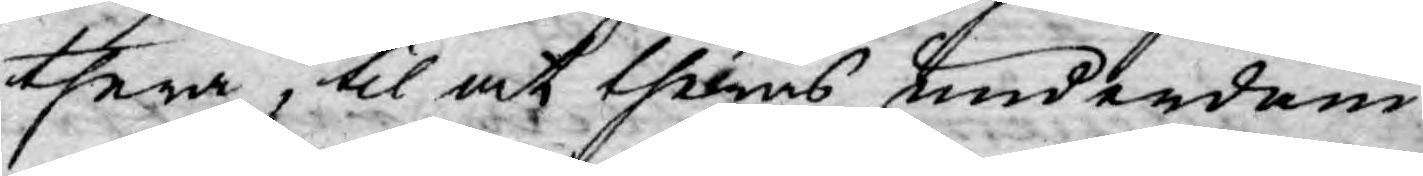thera, til at theras underdåni¬
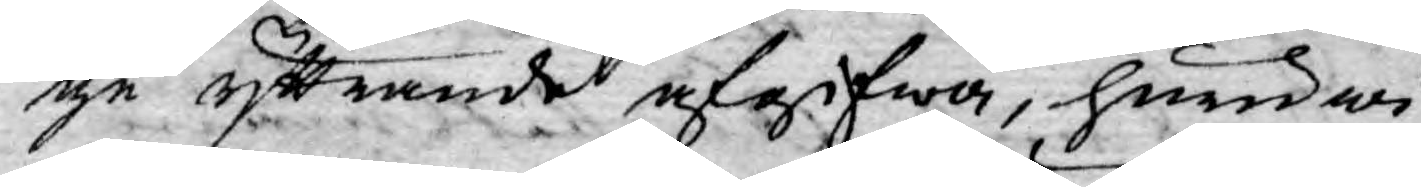ge yttrande afgifwa, huru wi¬
